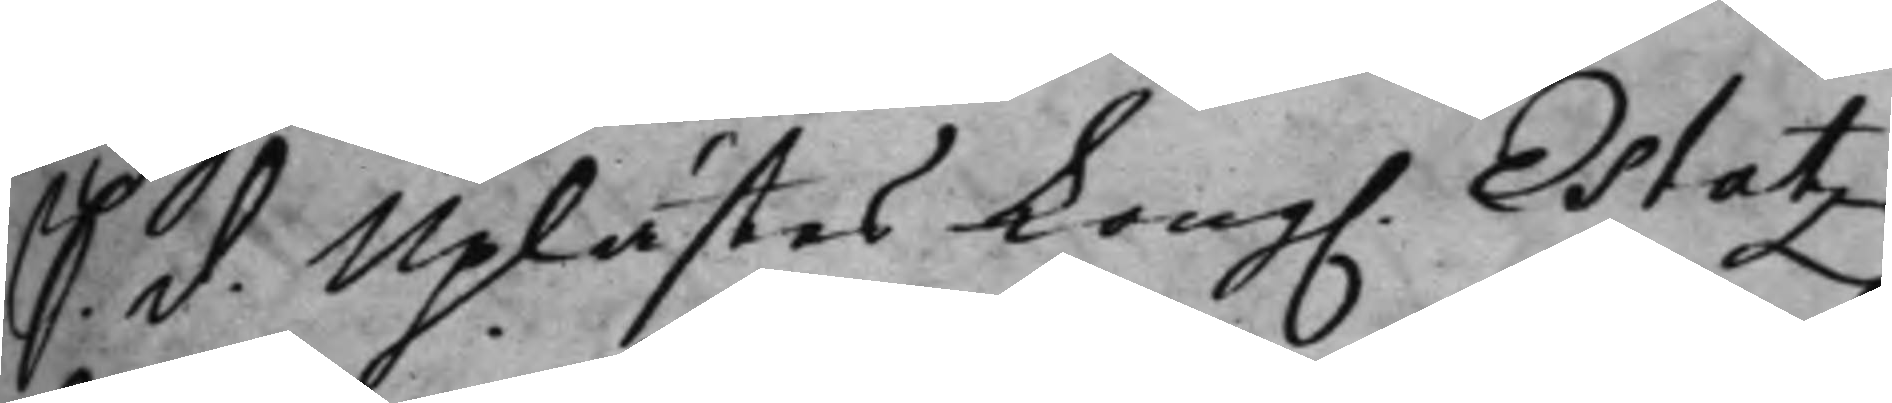S. d. Uplästes Kong. Estatz¬
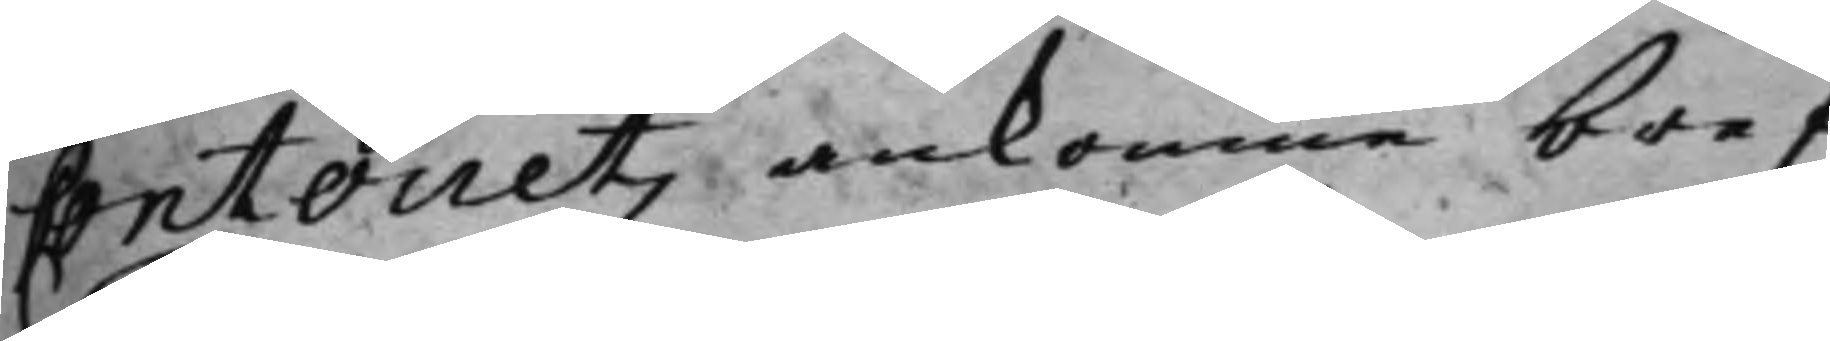contorietz ankomne bref,
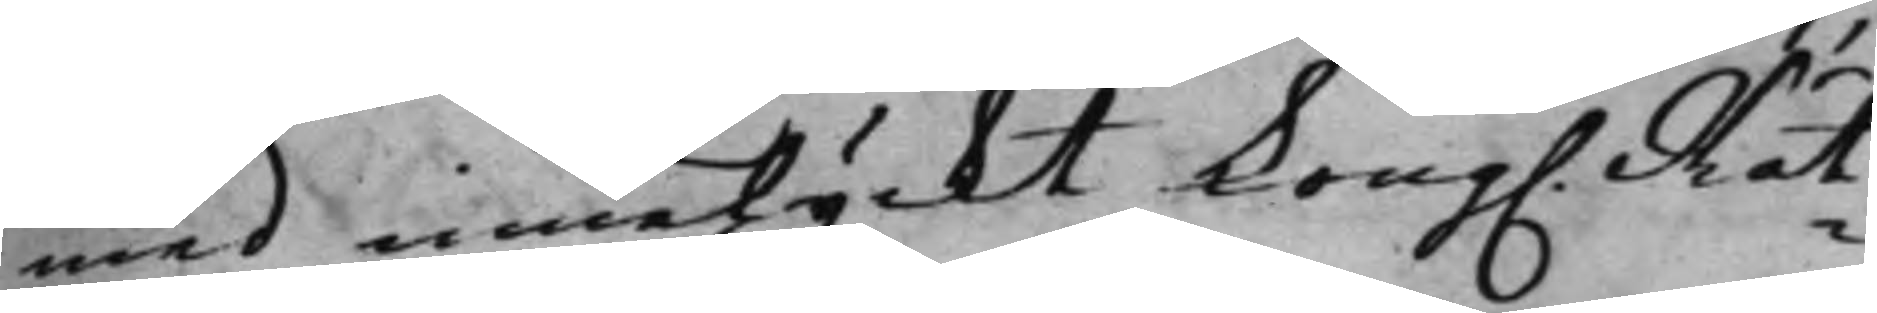med innelyckt Kong. Rät¬
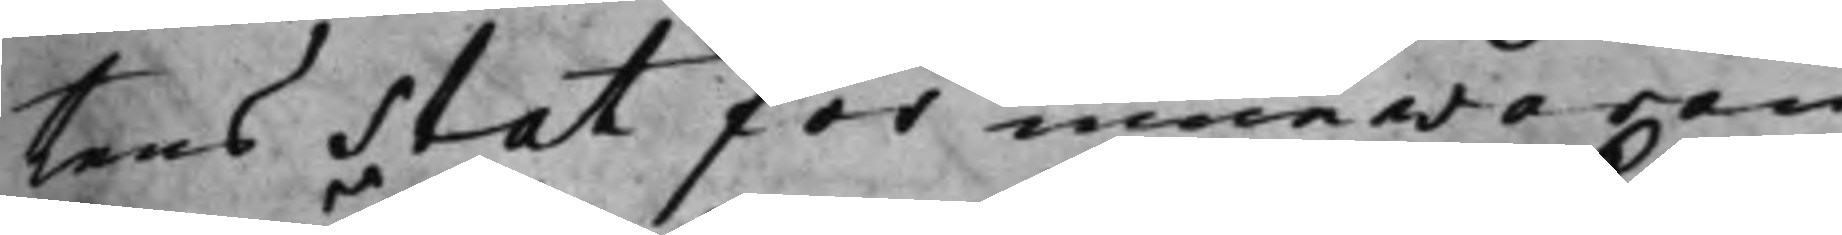tens Stat för innewaran¬
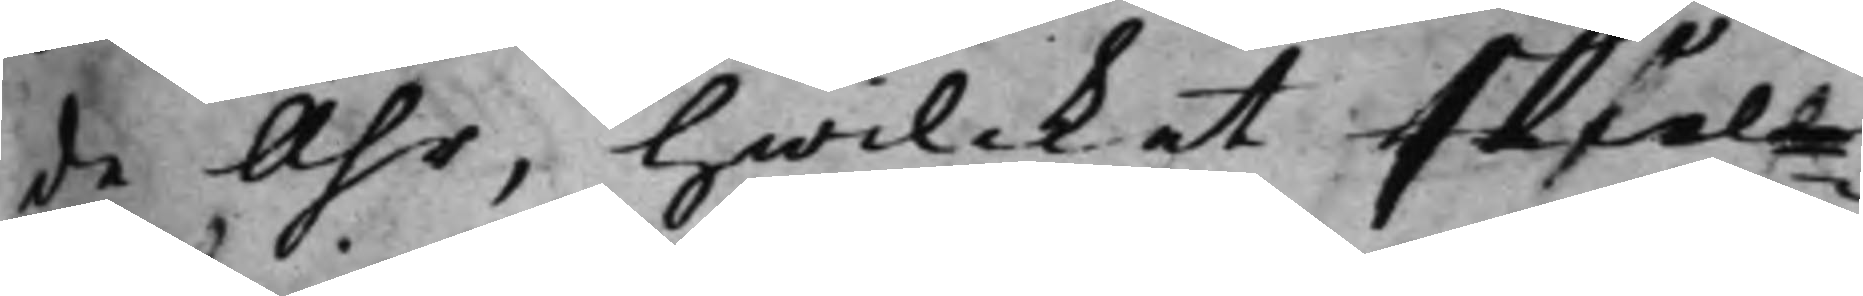de Åhr, hwilcket at skiäll¬
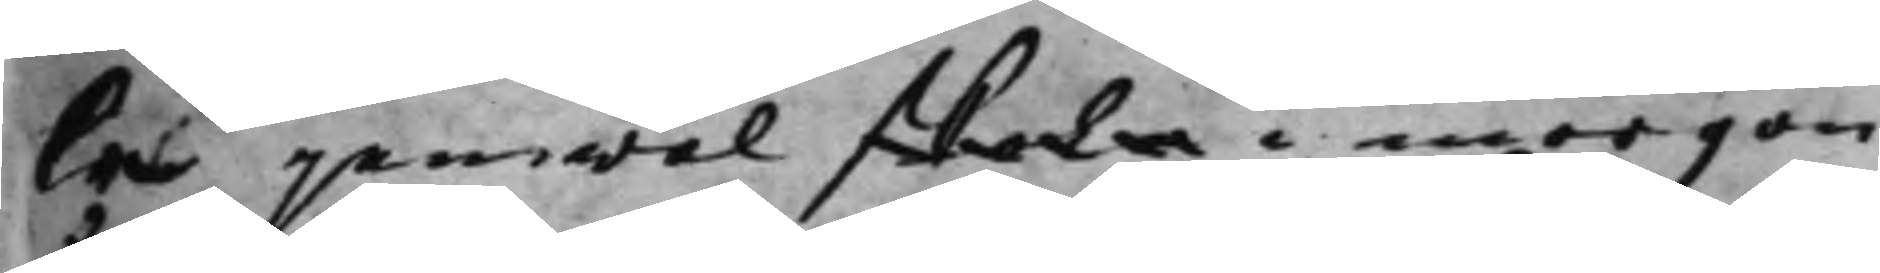fa jämwäl skola i morgon
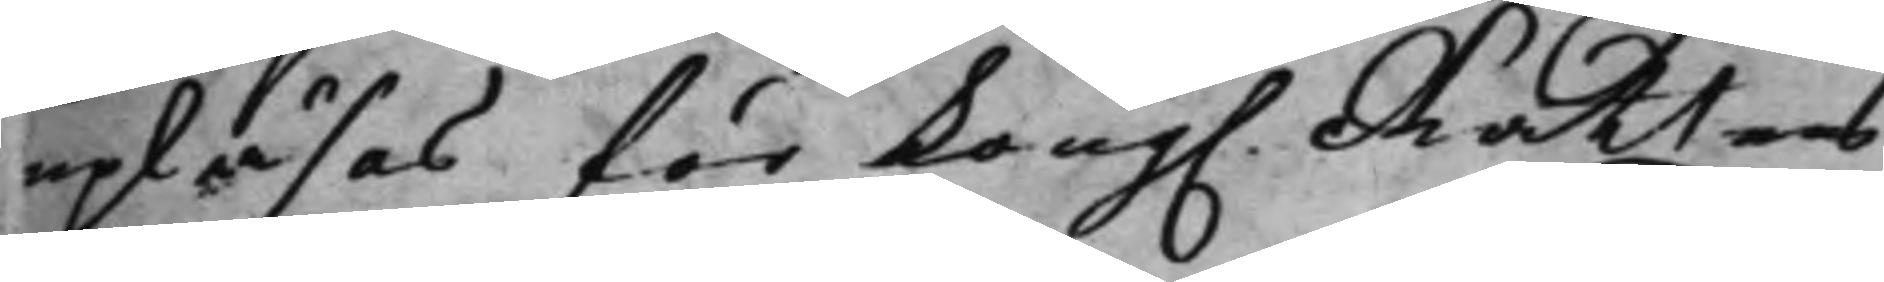upläsas för Kong. Rättens
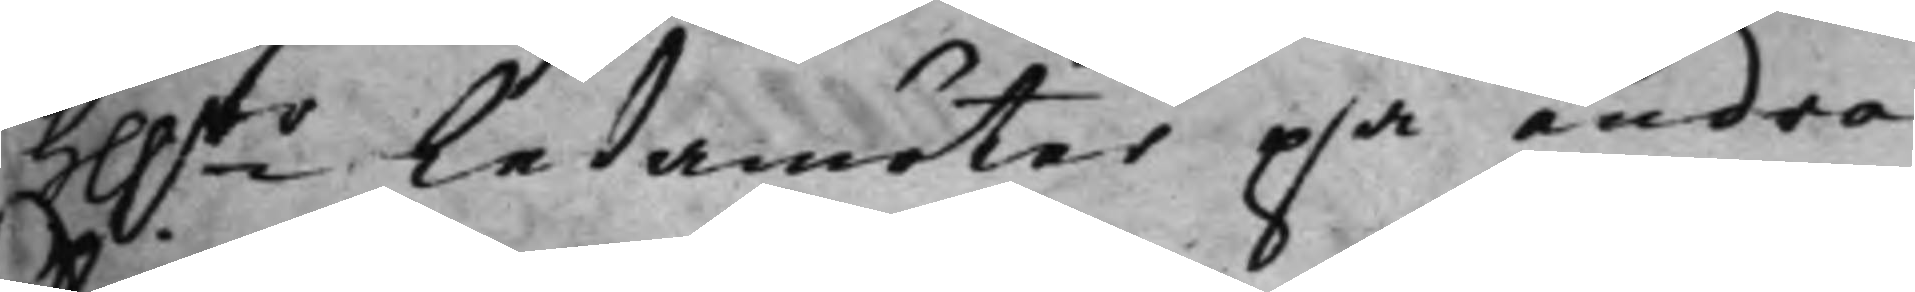h:rr ledamöter på andra
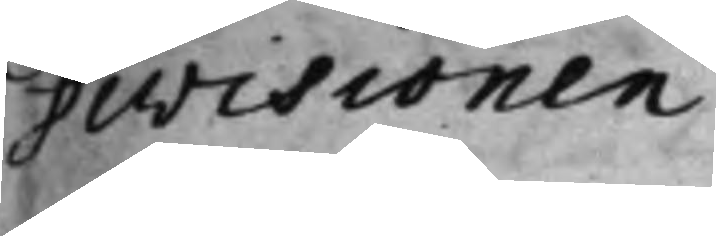Divisionen.
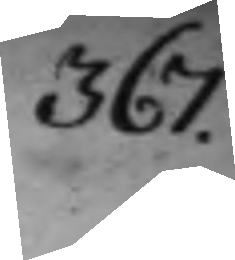367.
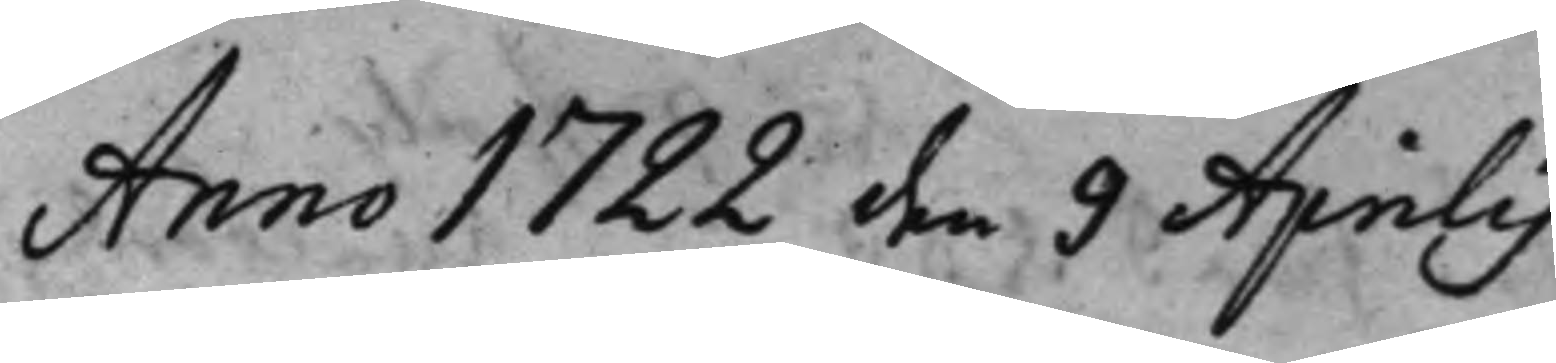Anno 1722 den 9 Aprilis
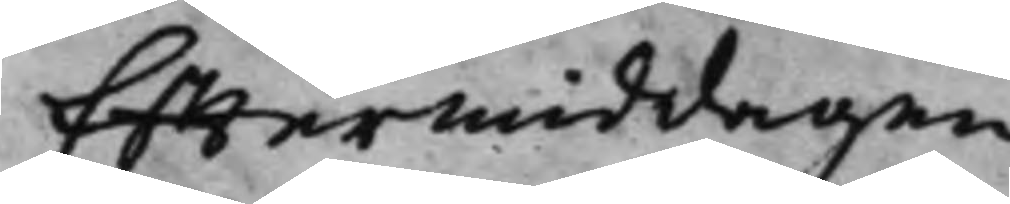Efftermiddagen
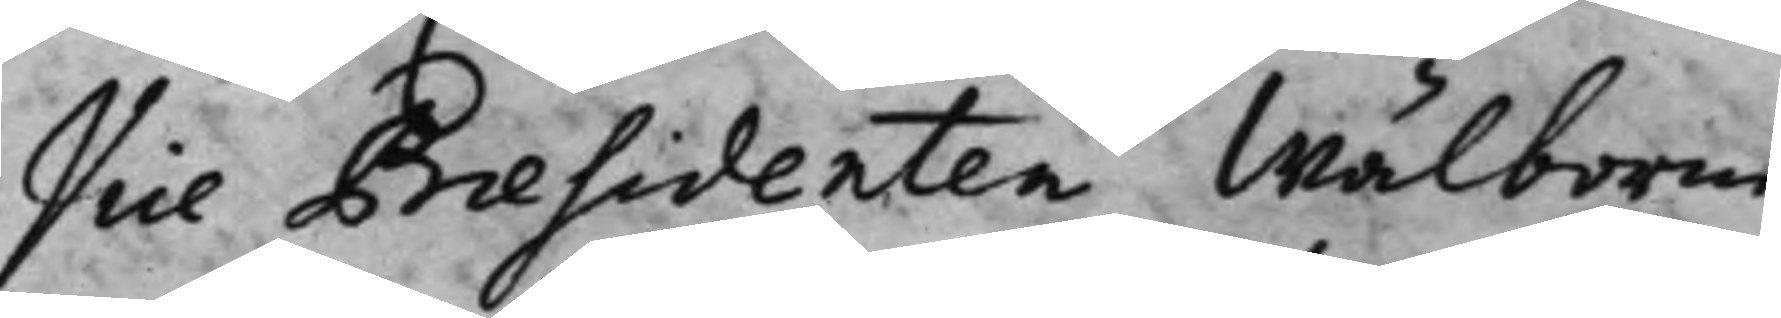Vice Prsæidenten Wälborne
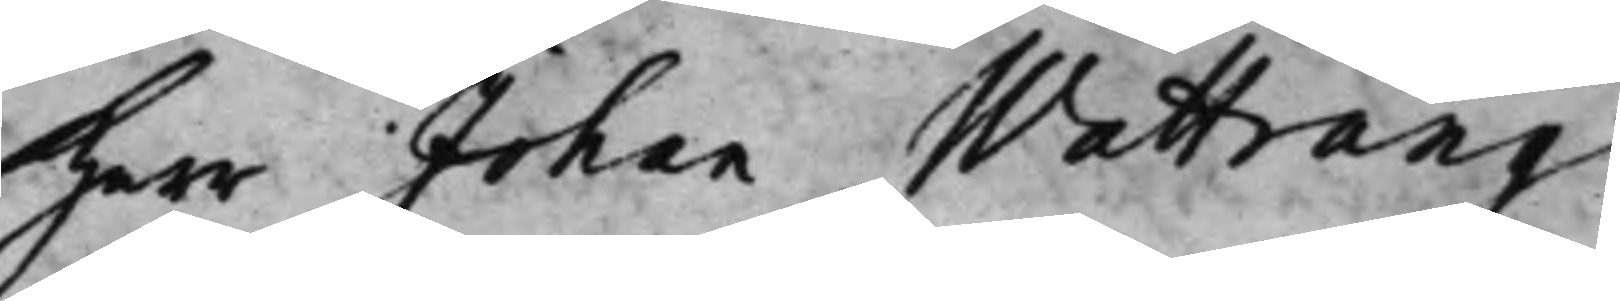Herr Johan Wattrang,
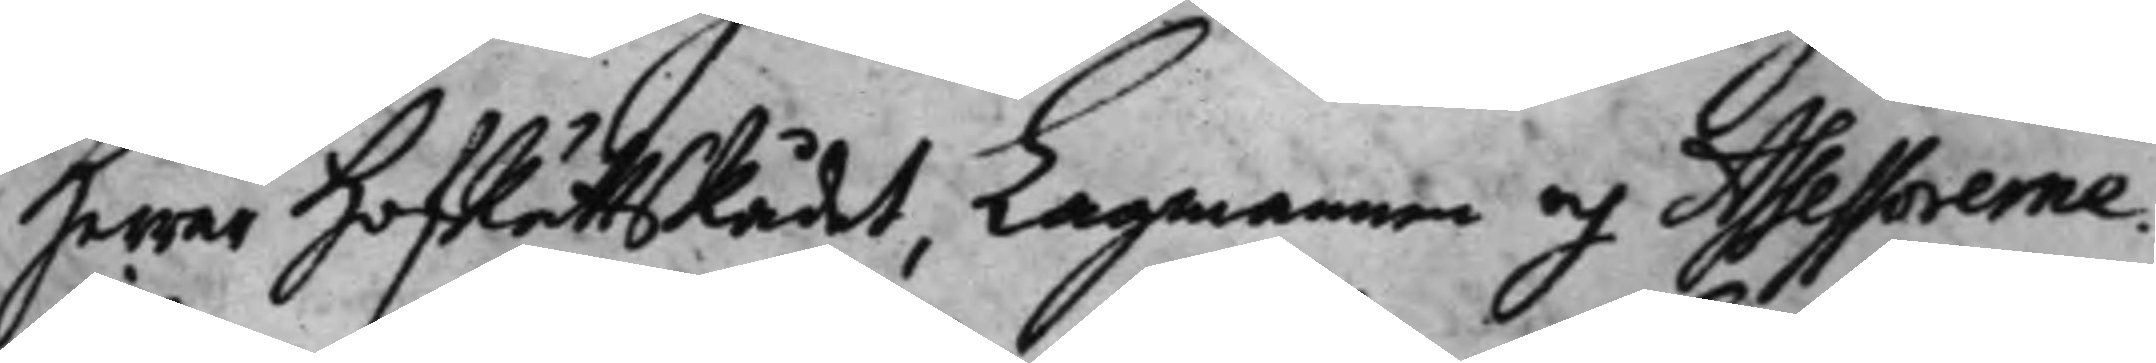Herrar HofRättsRådet, Lagmannen och Assessorerne:
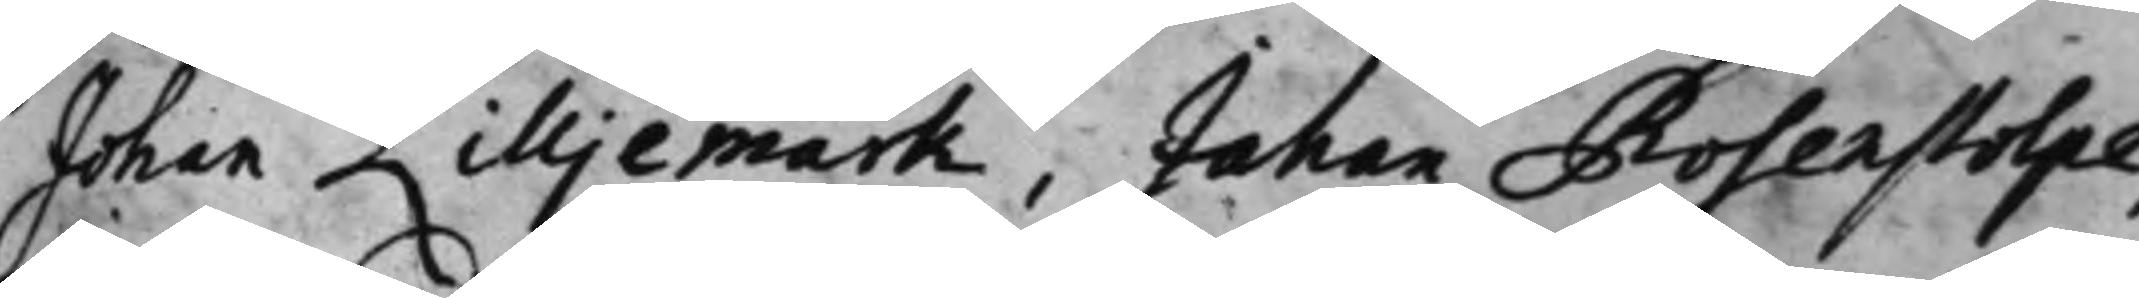Johan Lilljemark, Johan Rosenstolpe,
